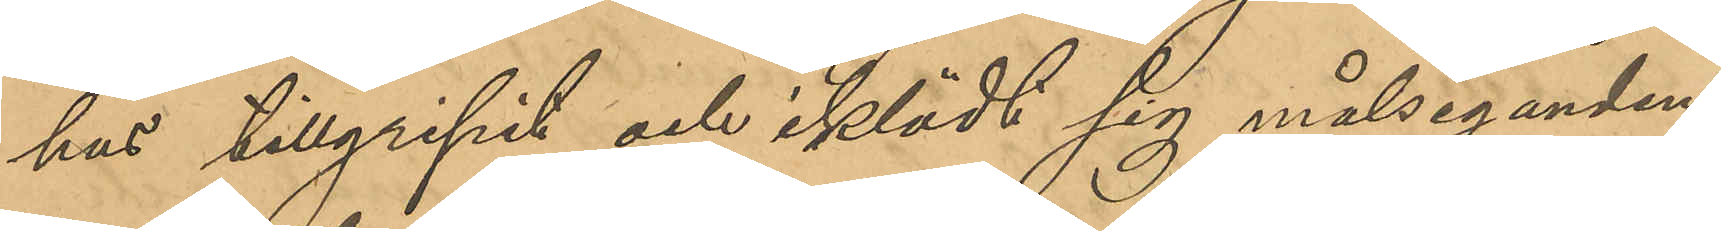hus tillgripit och iklädt sig målsegandens
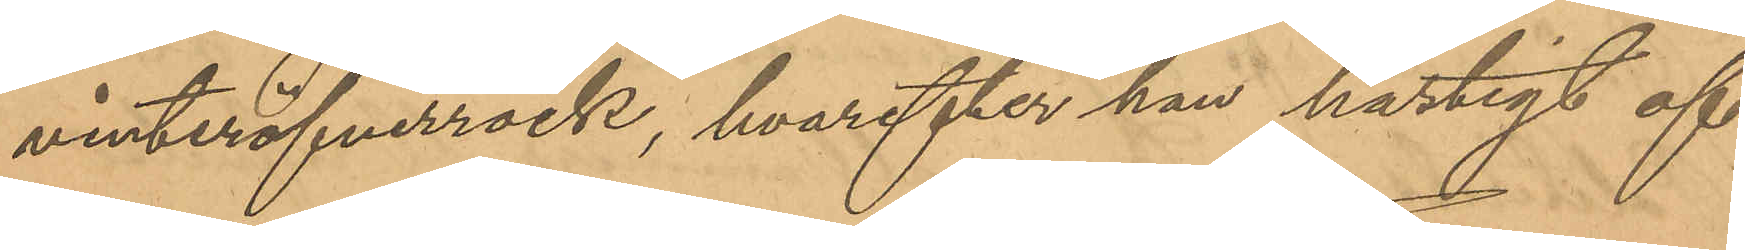vinteröfverrock, hvarefter han hastigt af¬
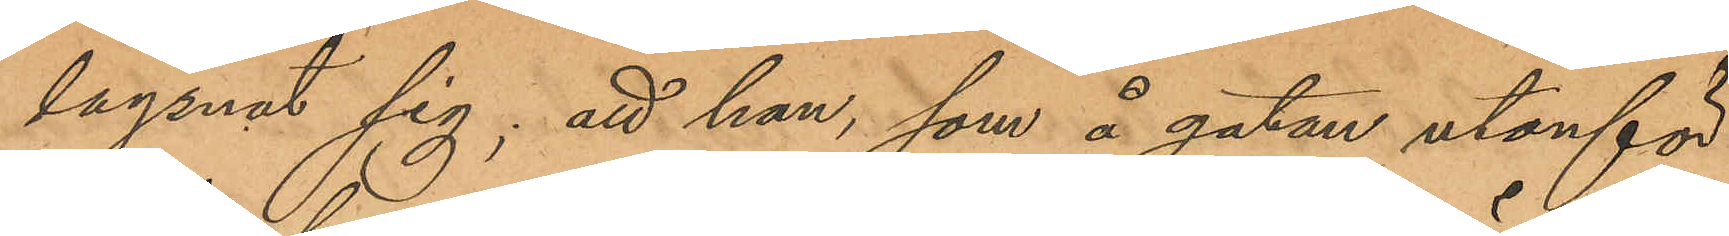lägsnat sig; att han, som å gatan utanför
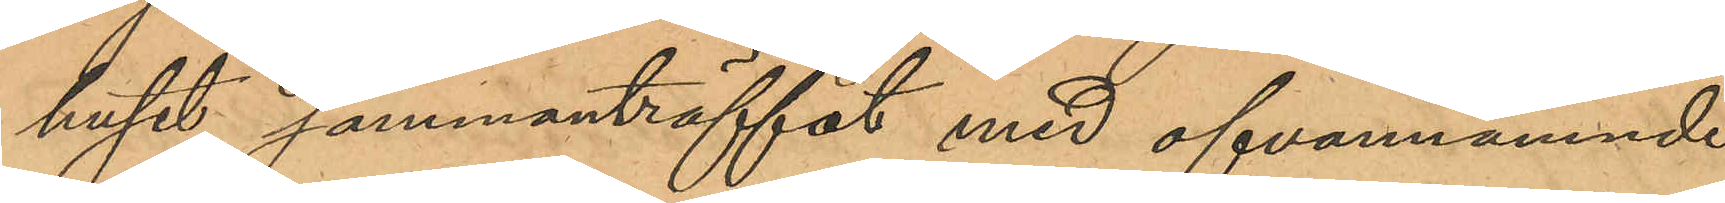huset sammanträffat med ofvannämnde
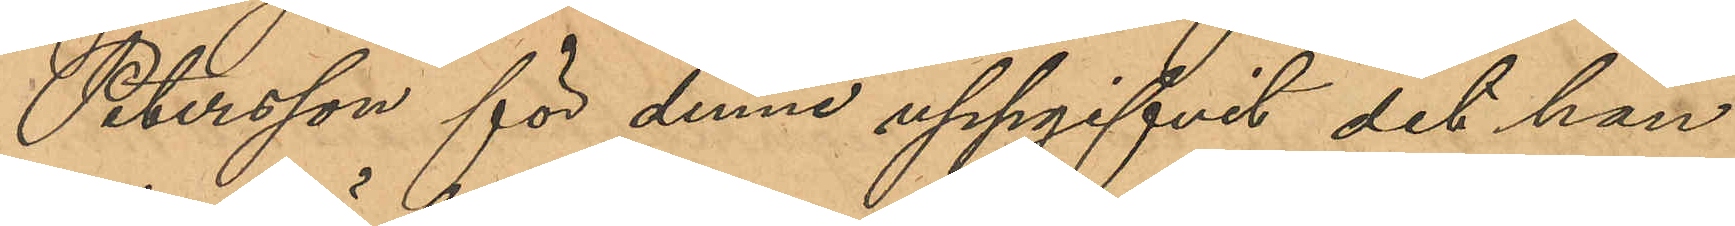Petersson för denne uppgifvit det han
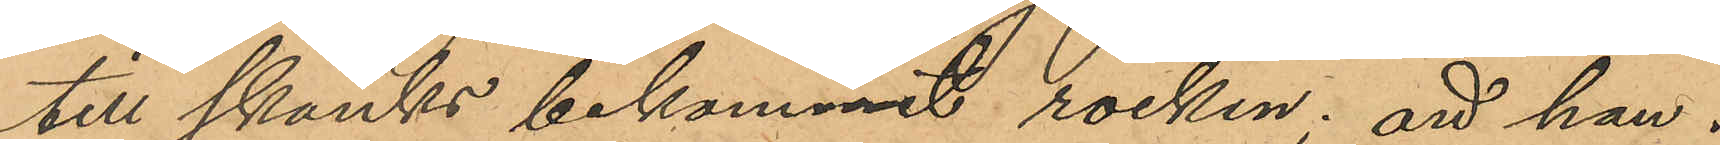till skänks bekommit rocken; att han i
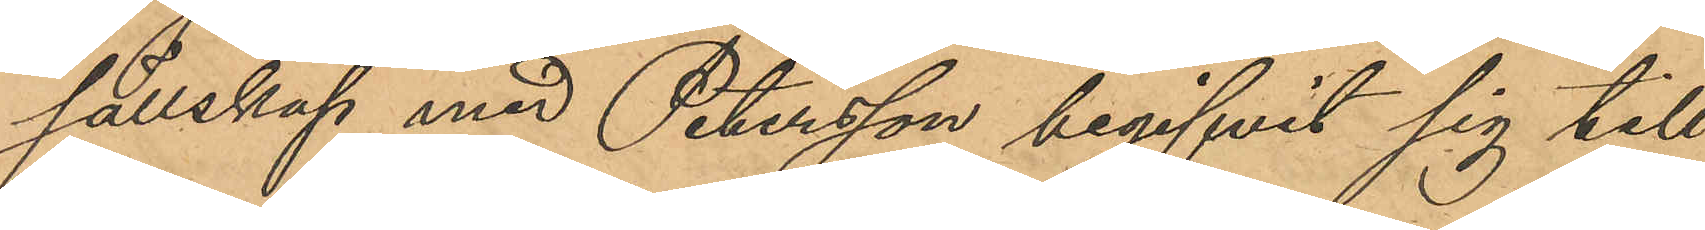sällskap med Petersson begifvit sig till
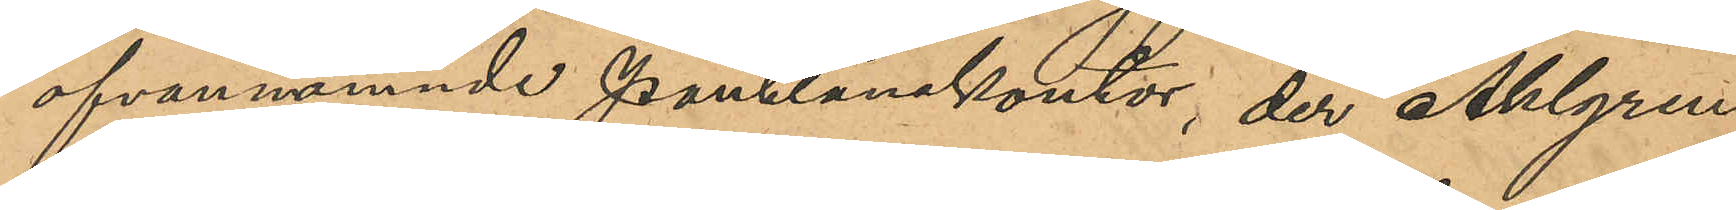ofvannämnde pantlånekontor, der Ahlgren
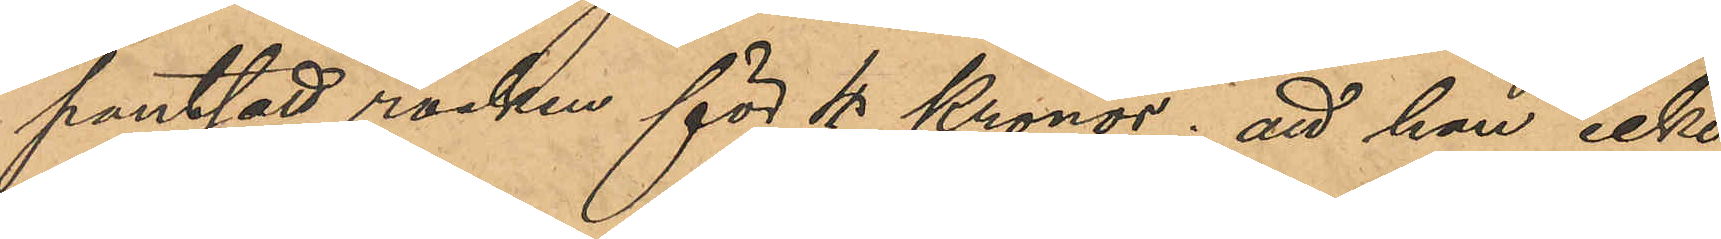pantsatt rocken för 4 Kronor; att han icke
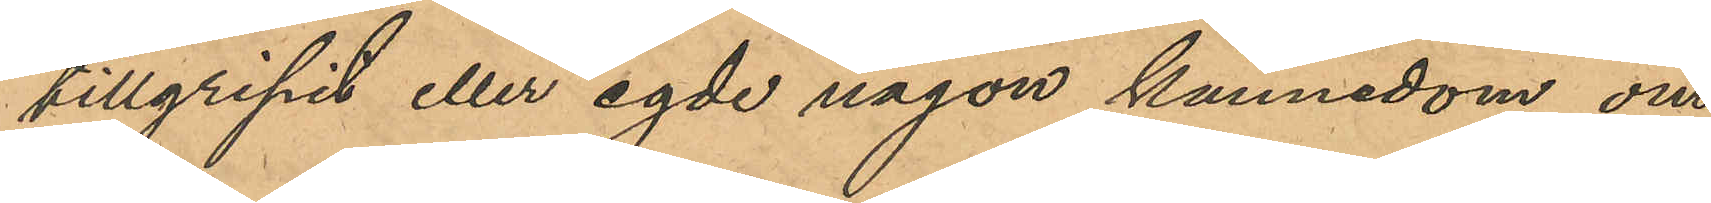tillgripit eller egde någon kännedom om
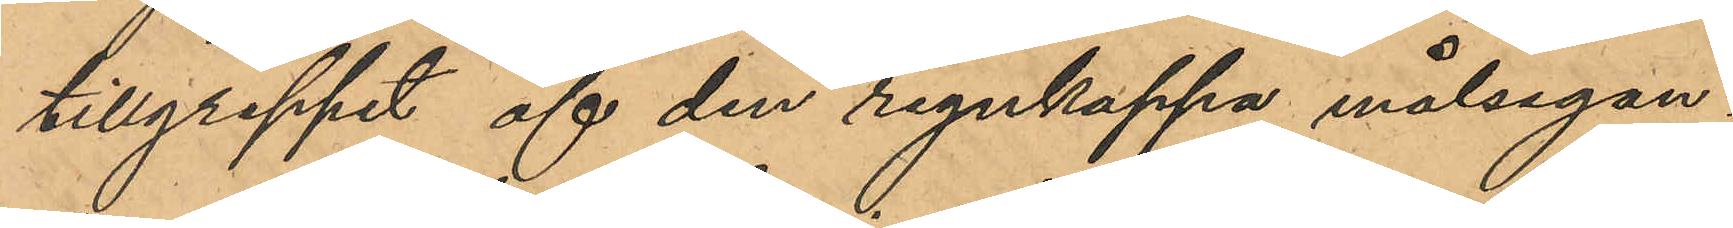tillgreppet af den regnkappa målsegan¬
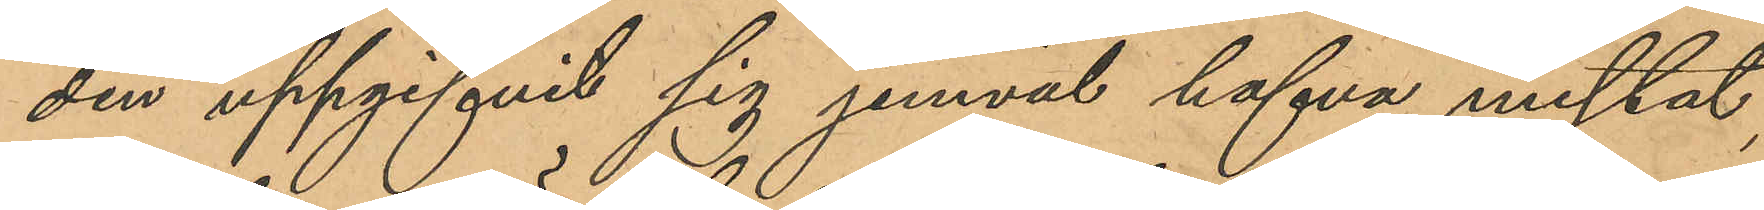den uppgifvit sig jemväl hafva mistat;
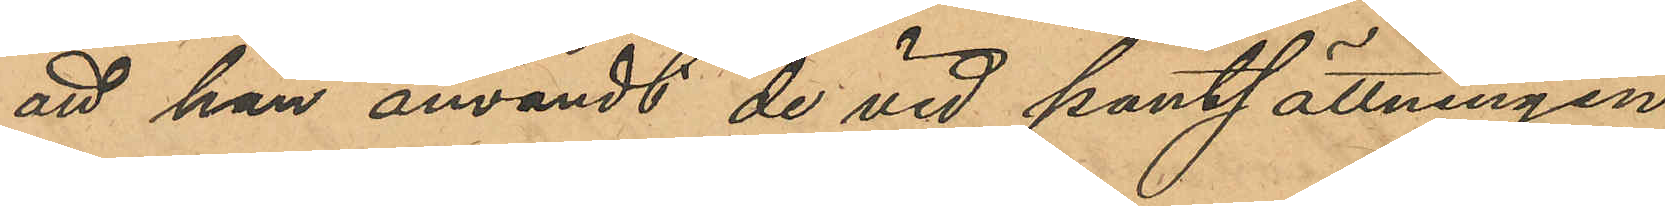att han användt de vid pantsättningen
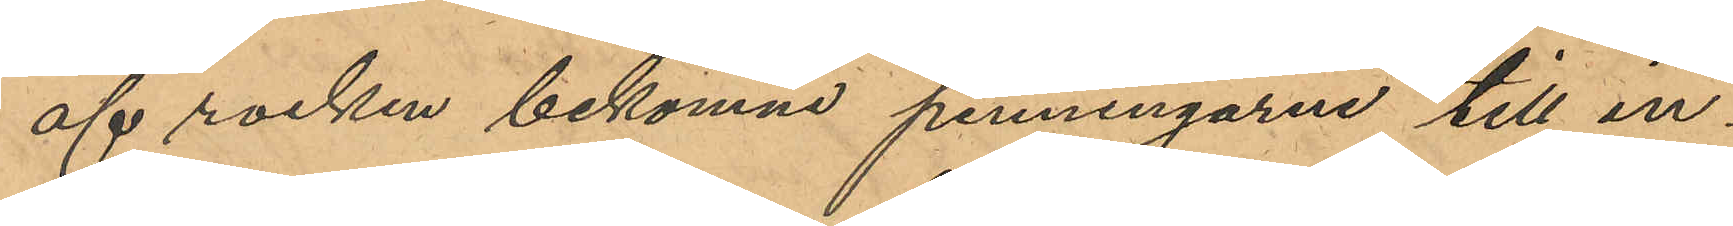af rocken bekomne penningarne till in¬
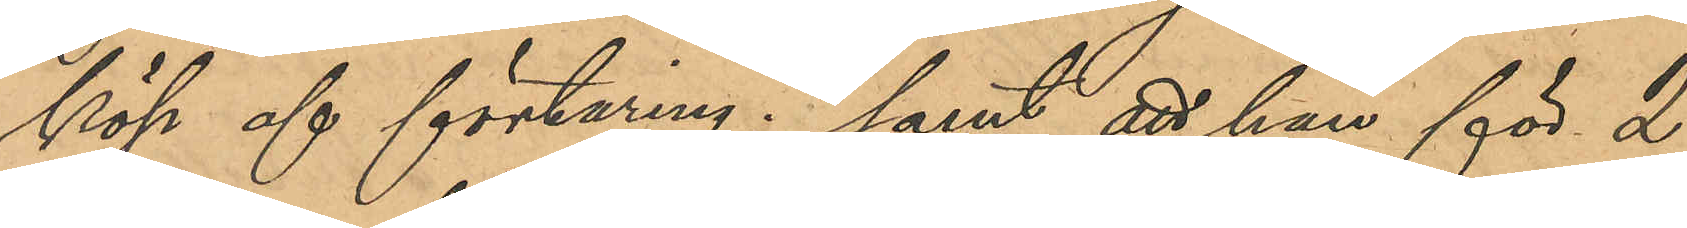köp af förtäring; samt att han för 2
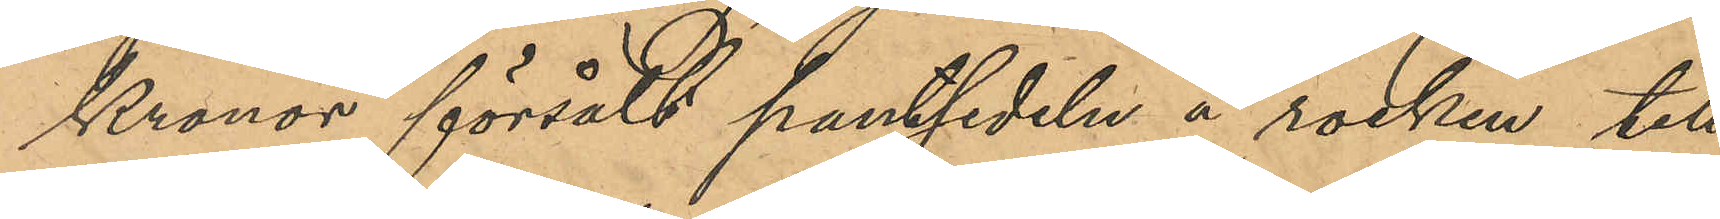Kronor försålt pantsedeln å rocken till
